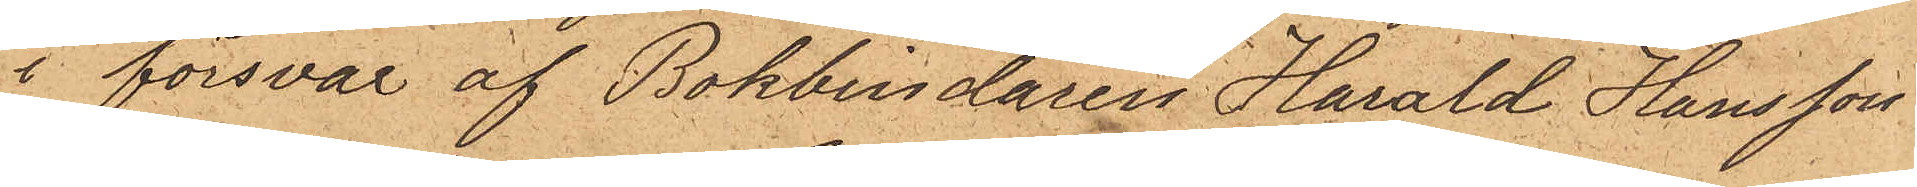i försvar af Bokbindaren Harald Hansson
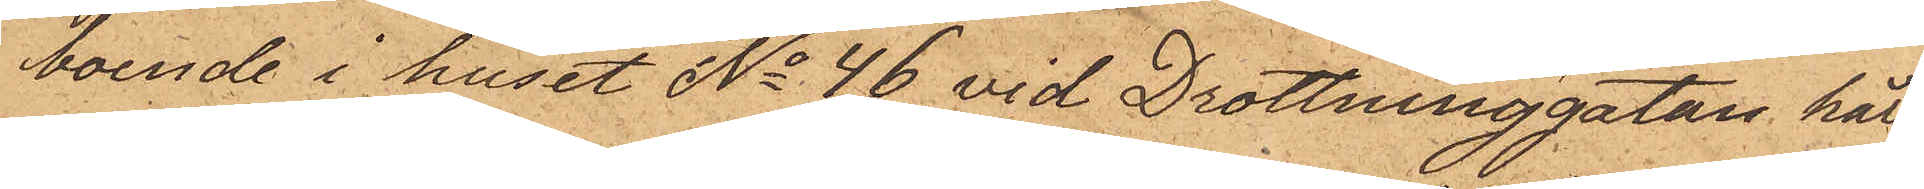boende i huset No 46 vid Drottninggatan här
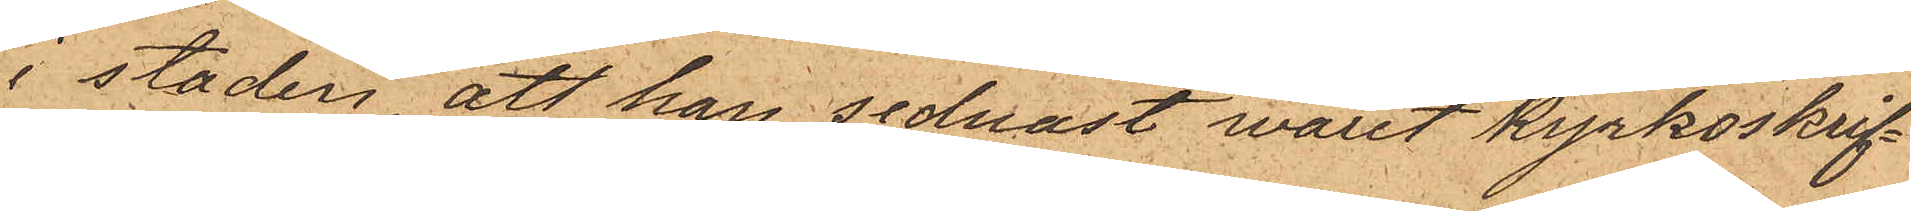i staden, att han sednast varit kyrkoskrif¬
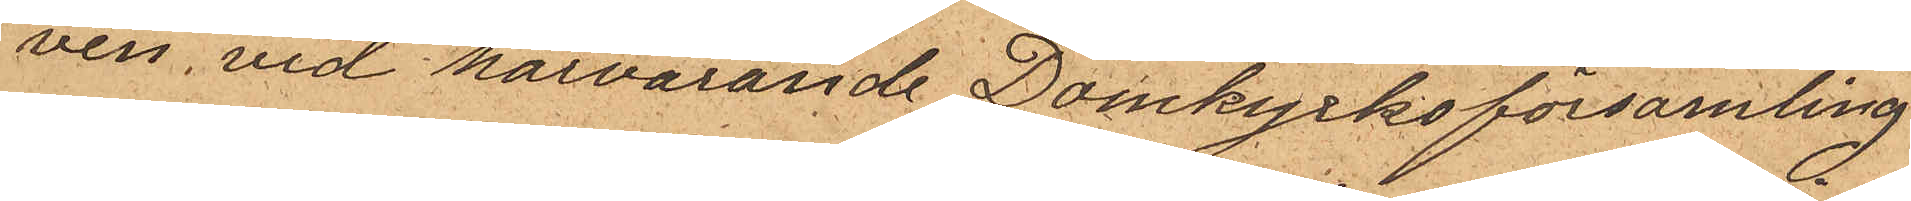ven vid härvarande Domkyrkoförsamling.
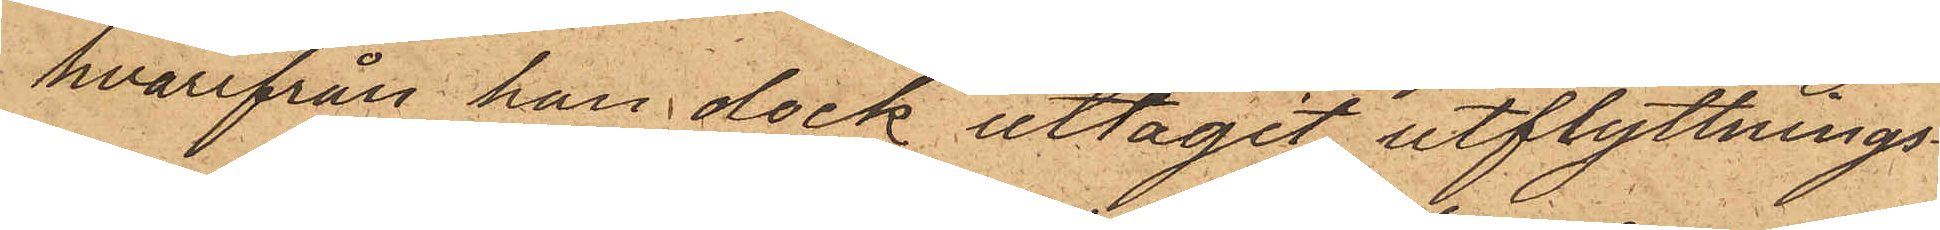hvarifrån han dock uttagit utflyttnings¬
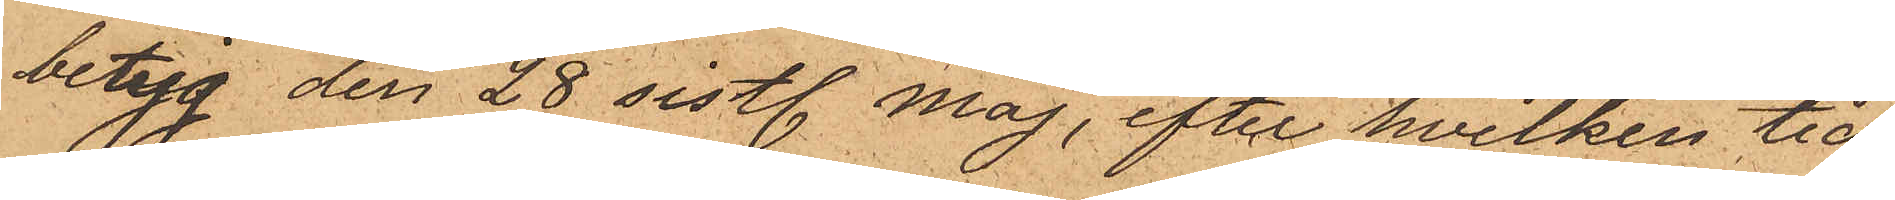betyg den 28 sistl. Maj, efter hvilken tid
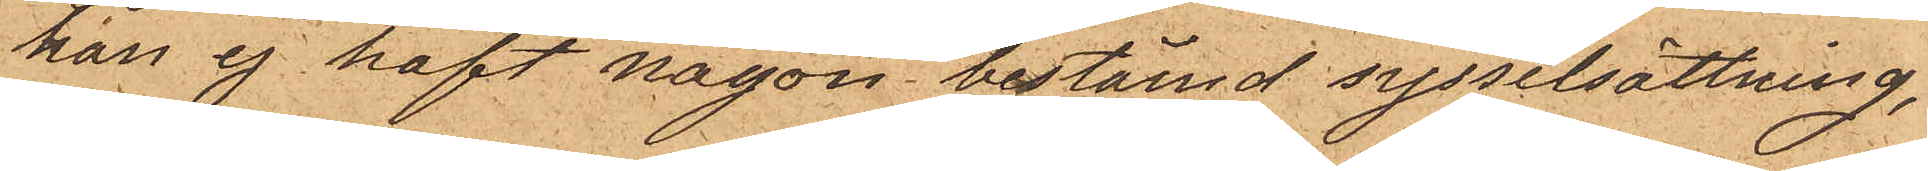han ej haft någon bestämd sysselsättning,
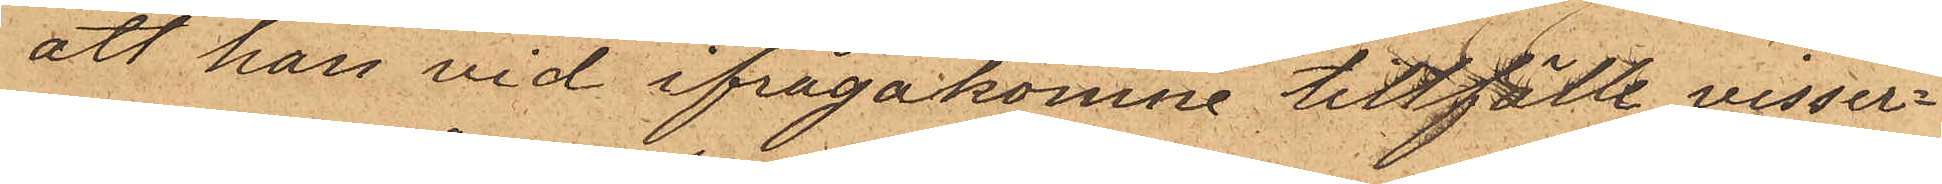att han vid ifrågakomne tillfälle visser¬
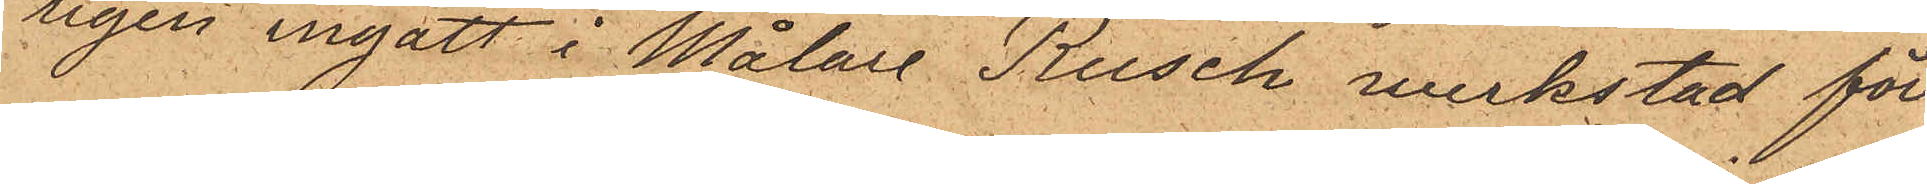ligen ingått i Målare Rusch verkstad för
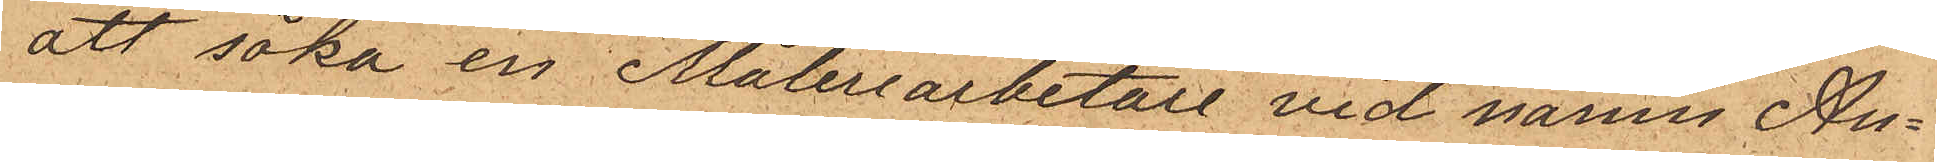att söka en Måleriarbetare vid namn An¬
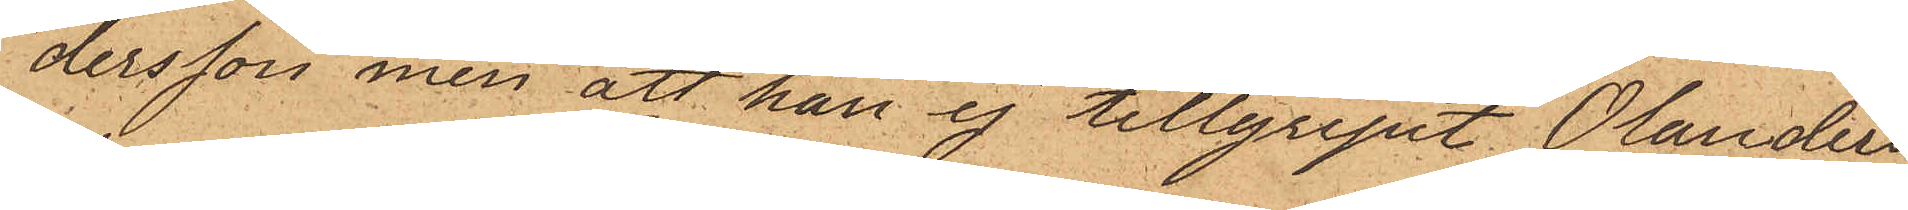dersson, men att han ej tillgripit Olanders
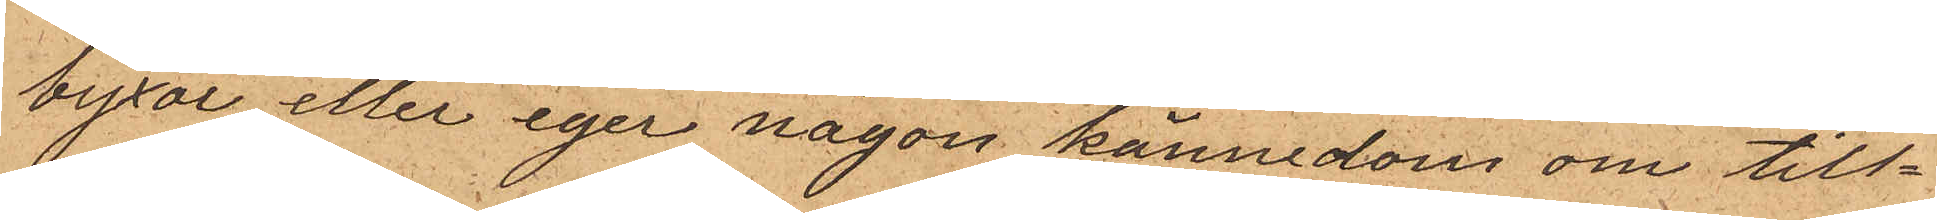byxor eller eger någon kännedom om till¬
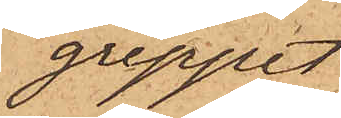greppet.
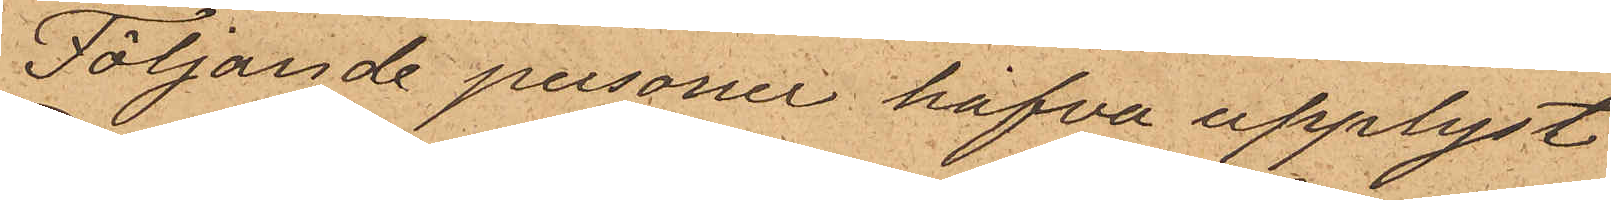Följande personer hafva upplyst
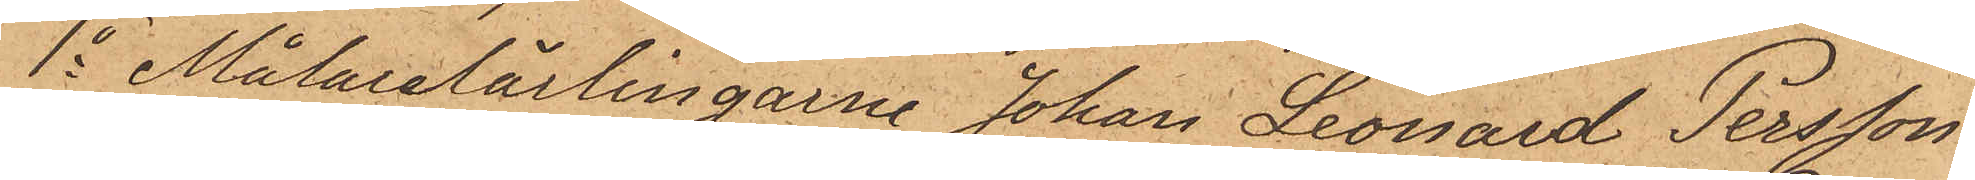1o Målarelärlingarne Johan Leonard Persson
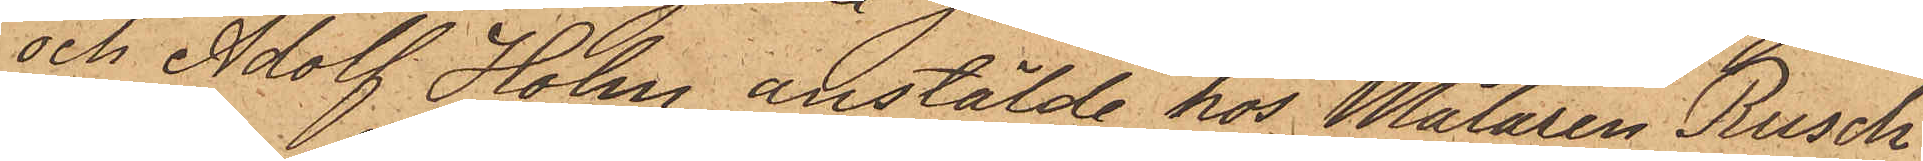och Adolf Holm anstälde hos Målaren Rusch
